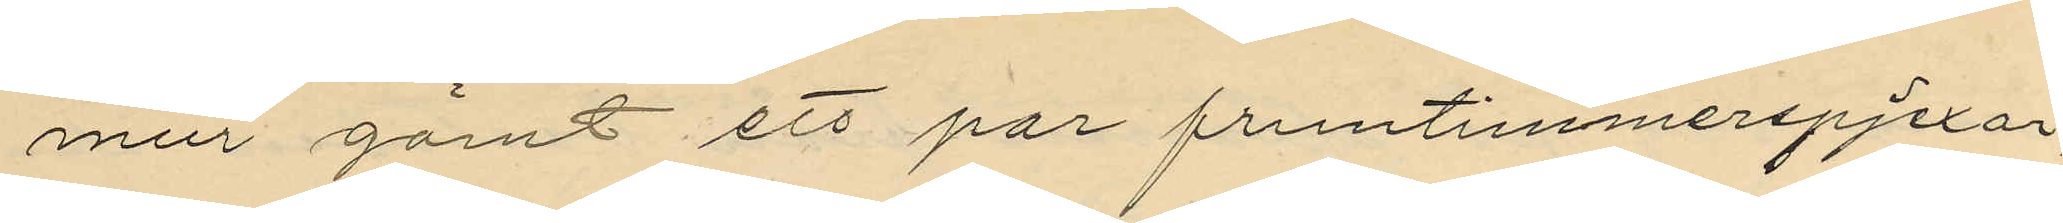mur gömt ett par fruntimmerspjexor;
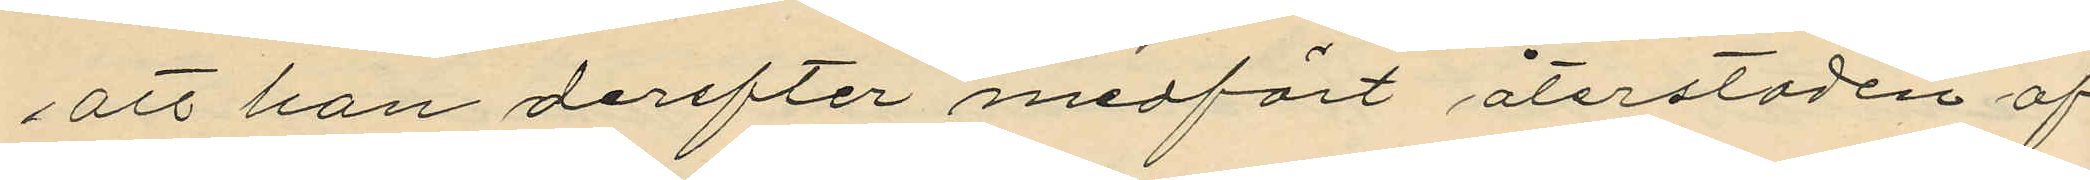att han derefter medfört återstoden af
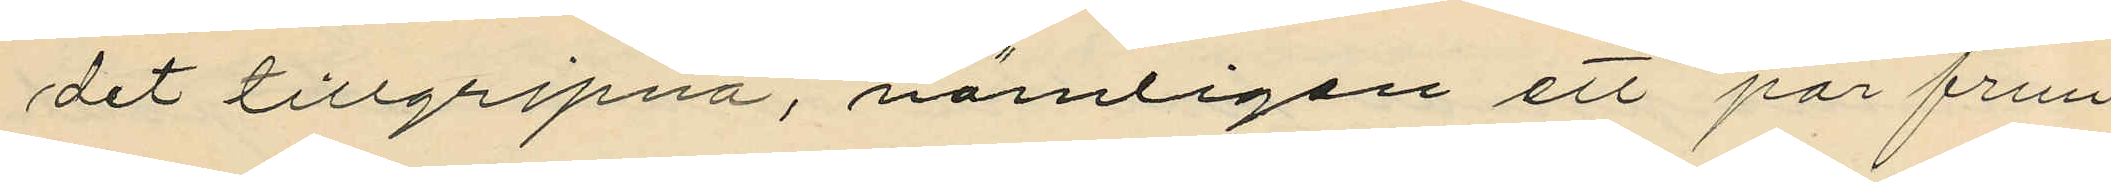det tillgripna, nämligen ett par frun¬
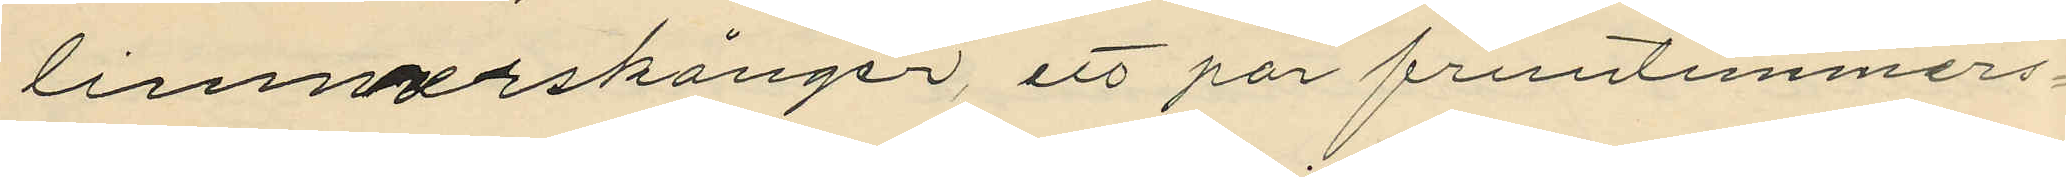timmerskänger, ett par fruntimmers¬
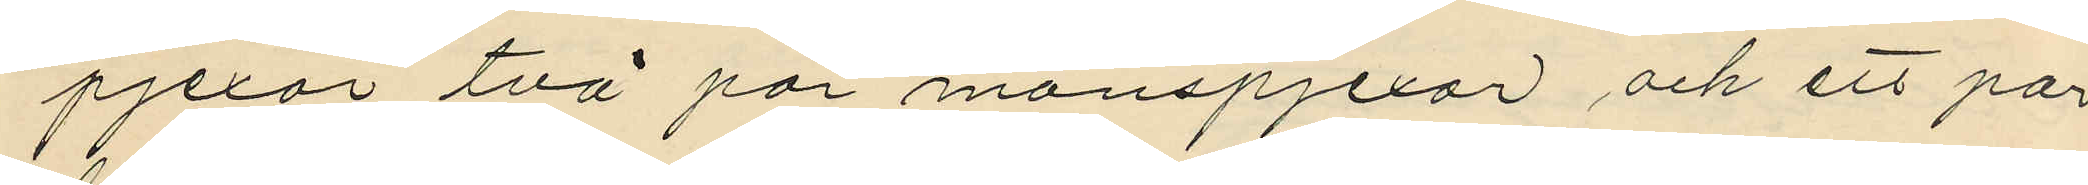pjexor två par manspjexor och ett par
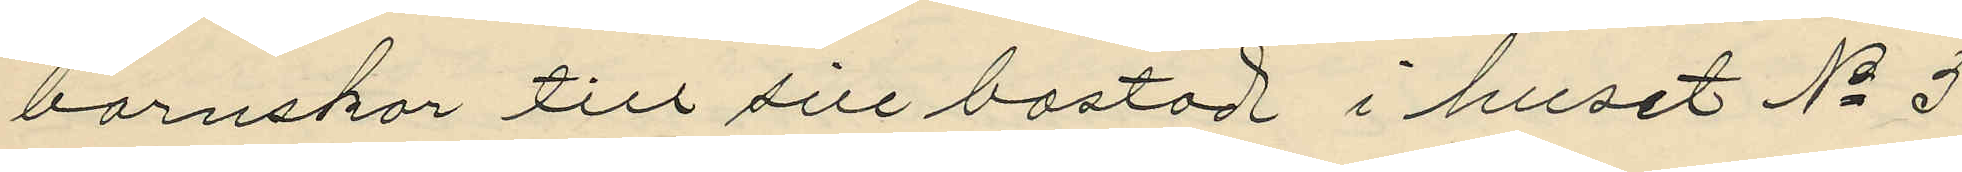barnskor till sin bostad i huset No 5
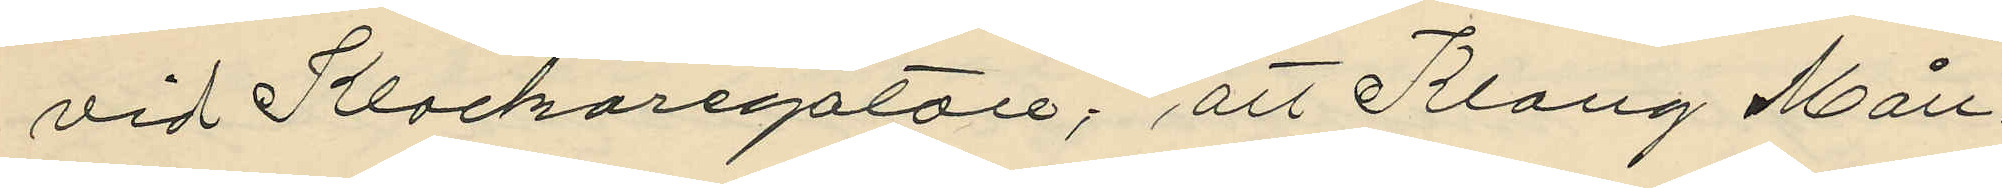vid Klockaregatan, att Klang Mån¬
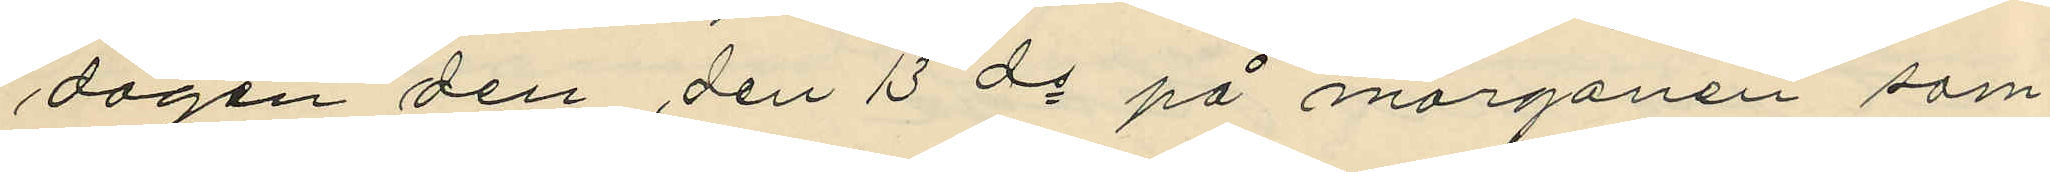dagen den den 13 ds på morgonen sam¬
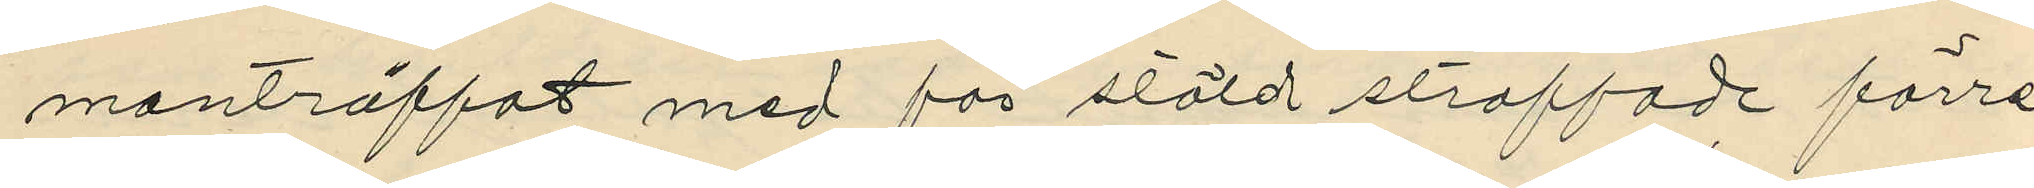manträffat med för stöld straffade förre
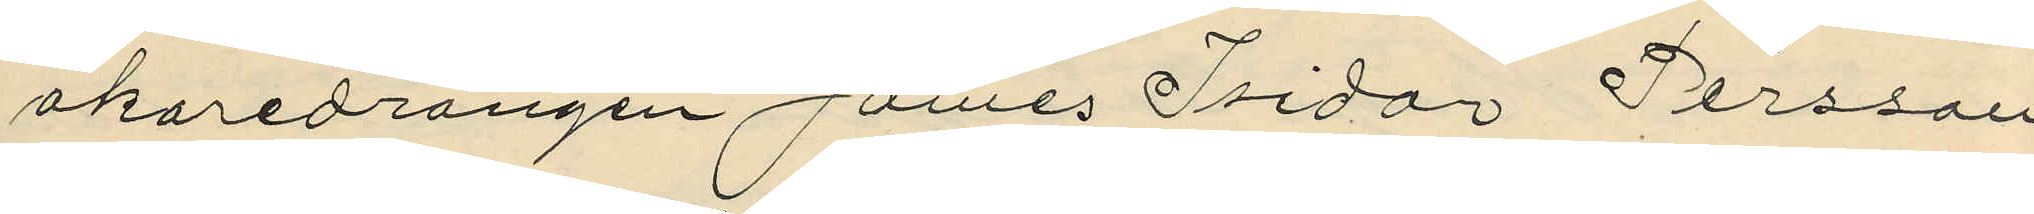åkaredrängen James Isidor Persson
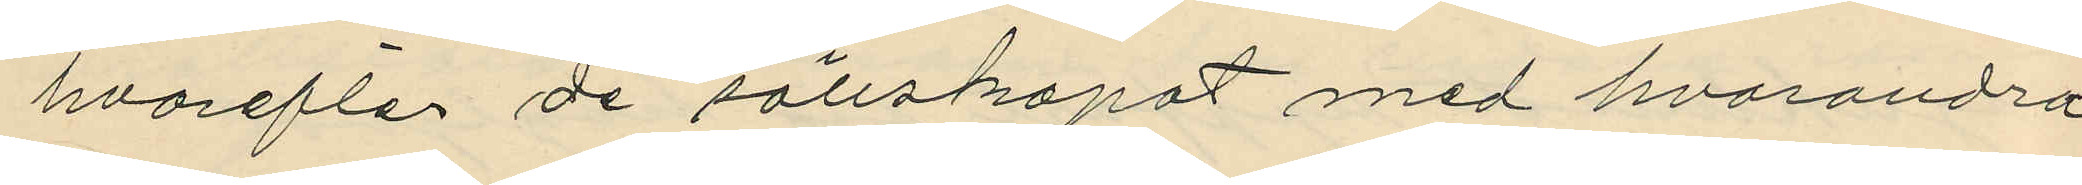hvarefter de sällskapat med hvarandra
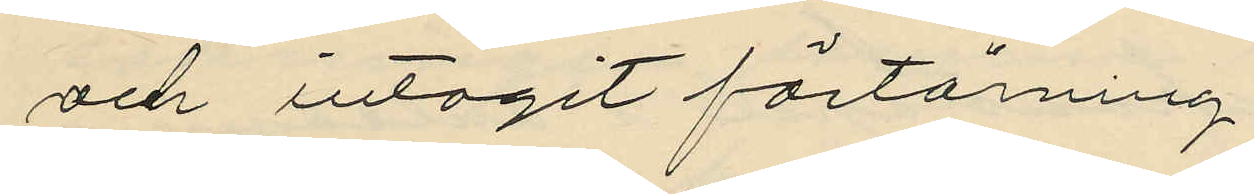och intagit förtärning;
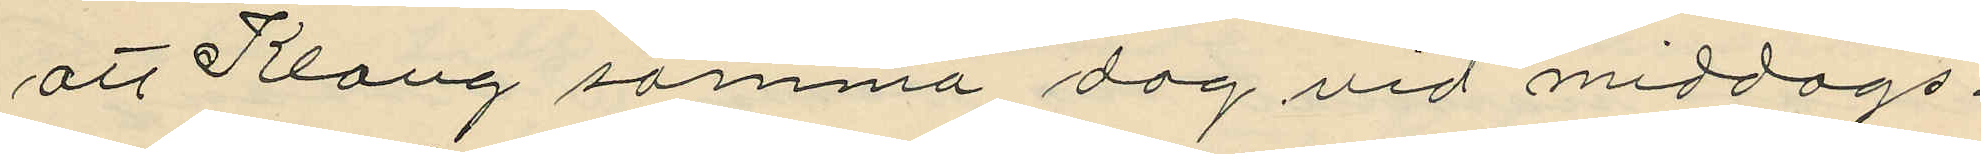att Klang samma dag vid middags¬
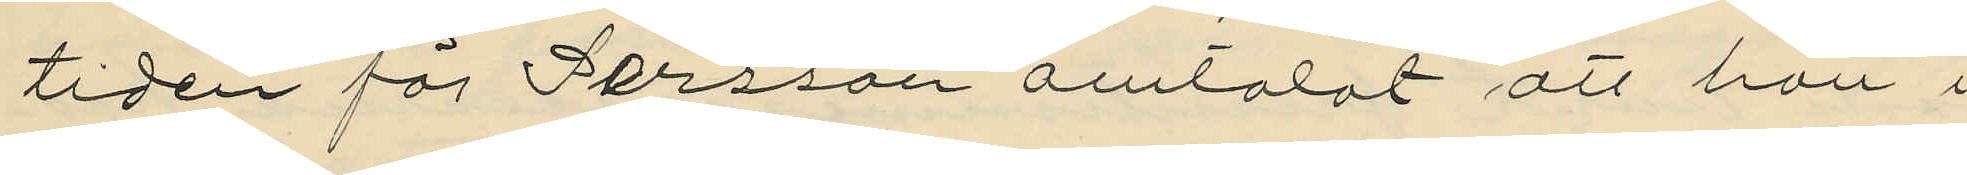tiden för Perssom omtalat att han i
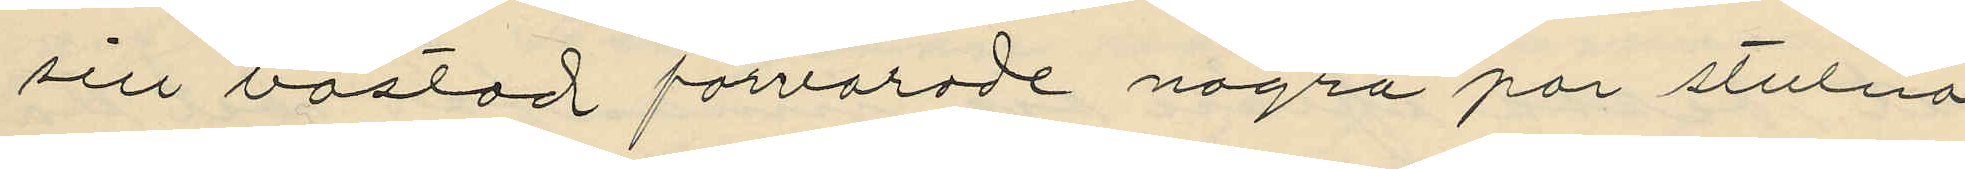sin bostad förvarade några par stulna
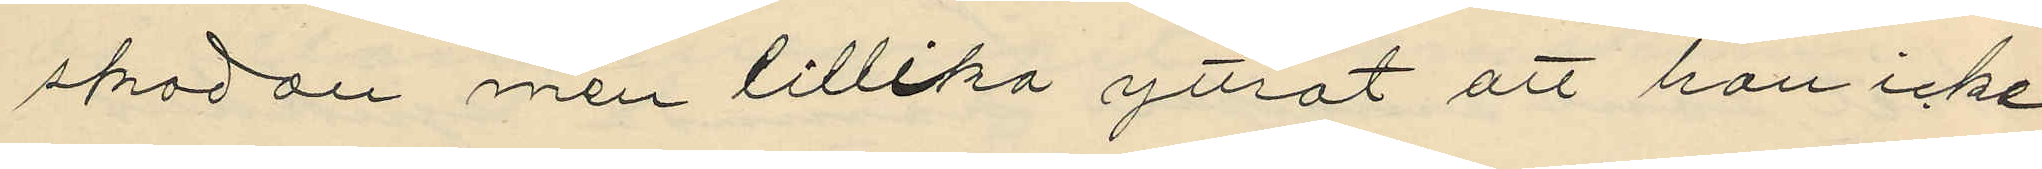skodon men tillika yttrat att han icke
